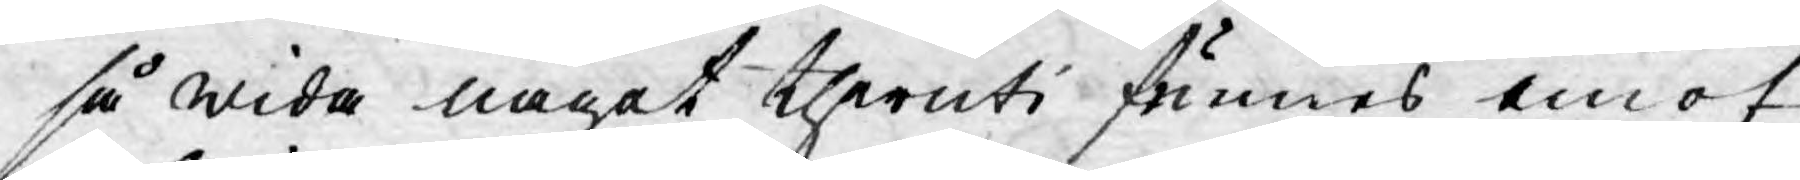så wida något theruti funnes emot
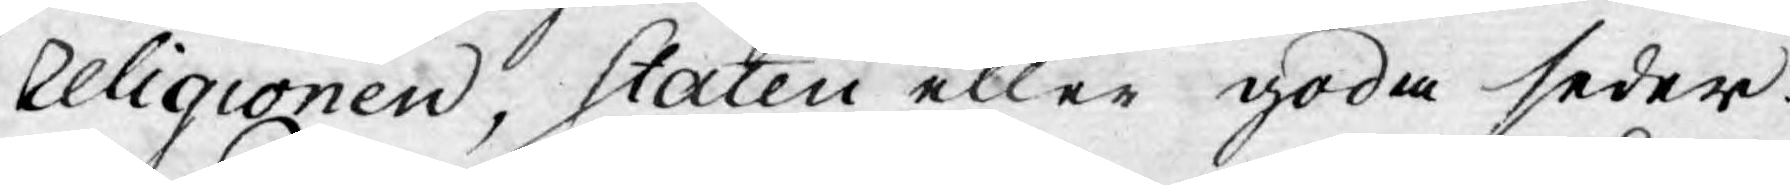Religionen, Staten eller goda seder.
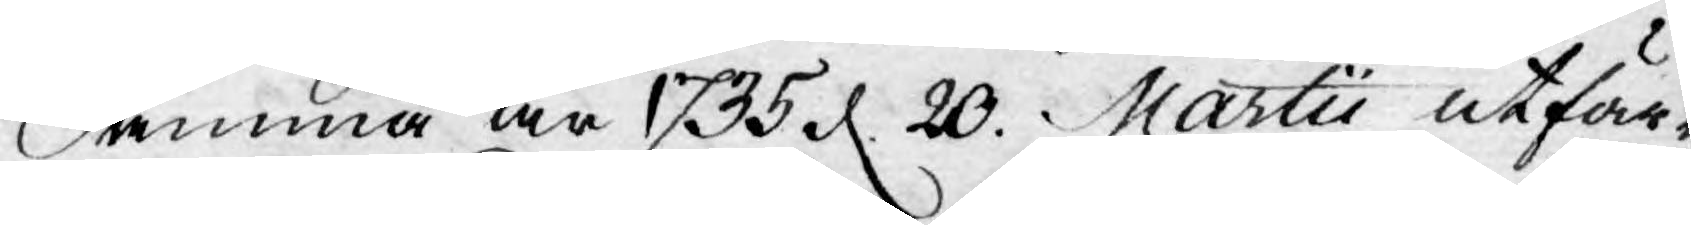Samma år 1735 d. 20. Martii utfär¬
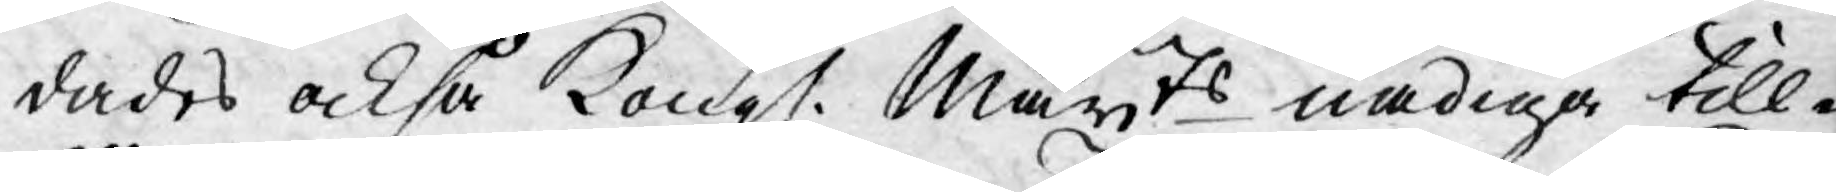dades också Kongl. Mayts nådiga till¬
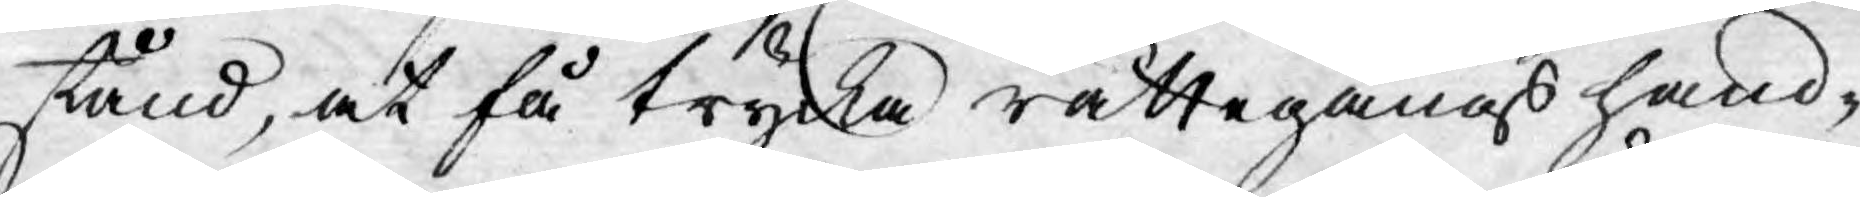stånd, at få trycka rättegångs hand-
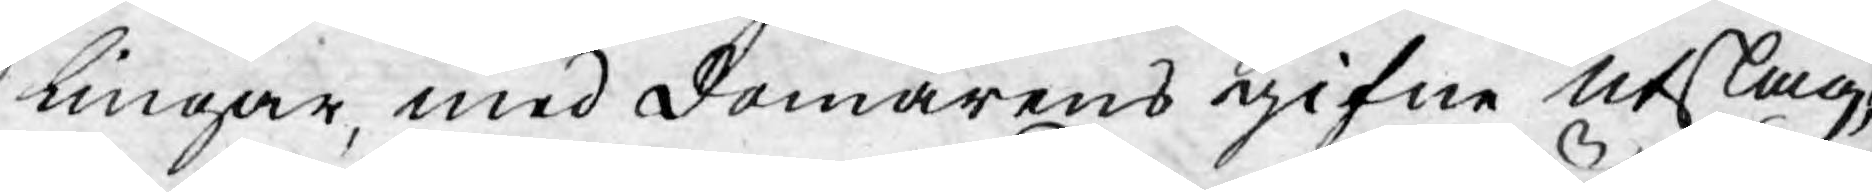lingar, med domarens gifne utslag,
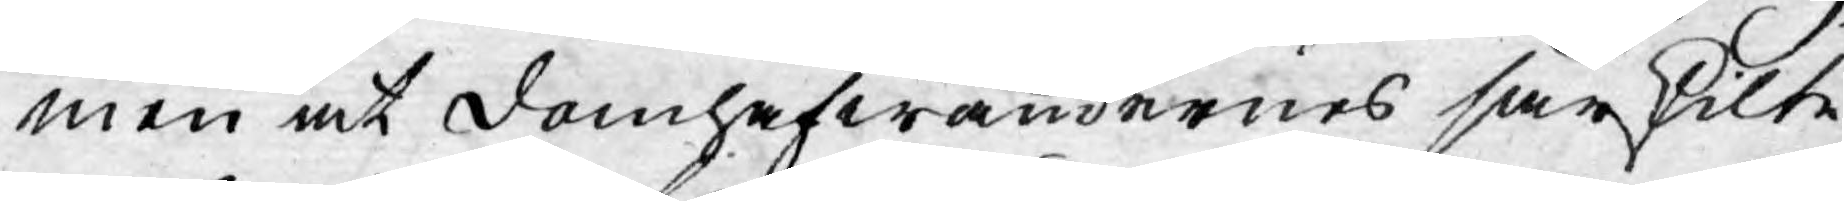men at domhafwandernes särskilte
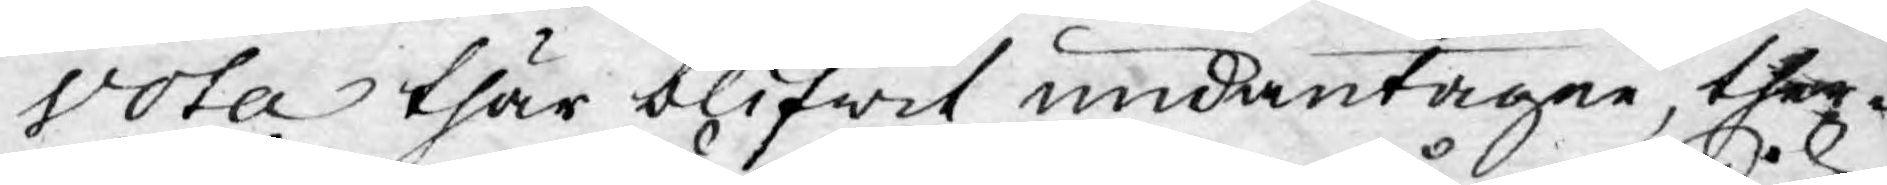Vota thär blifwit undantagne, ther¬
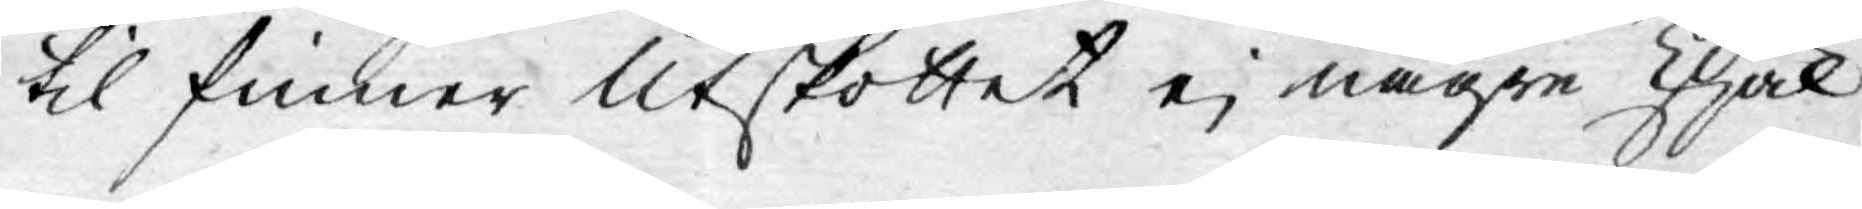til finner Utskottet ej någre skäl
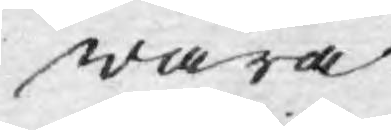wara
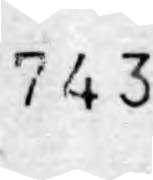743.
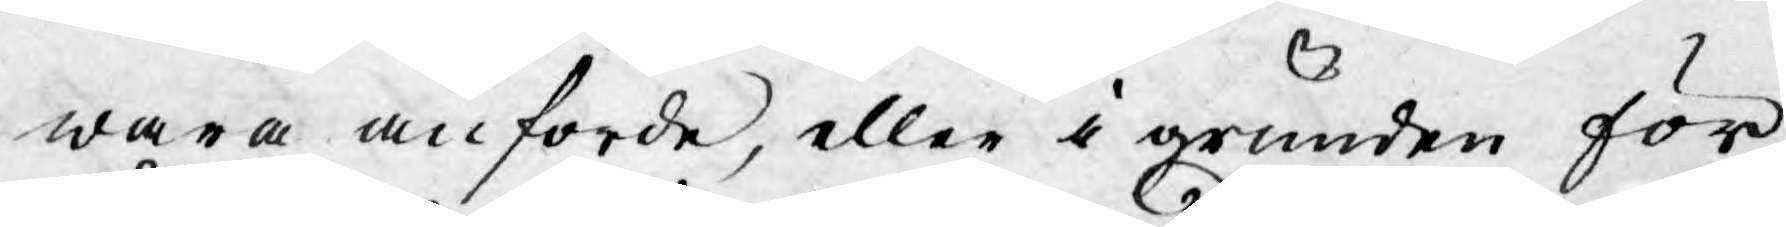wara anförde, eller i grunden för
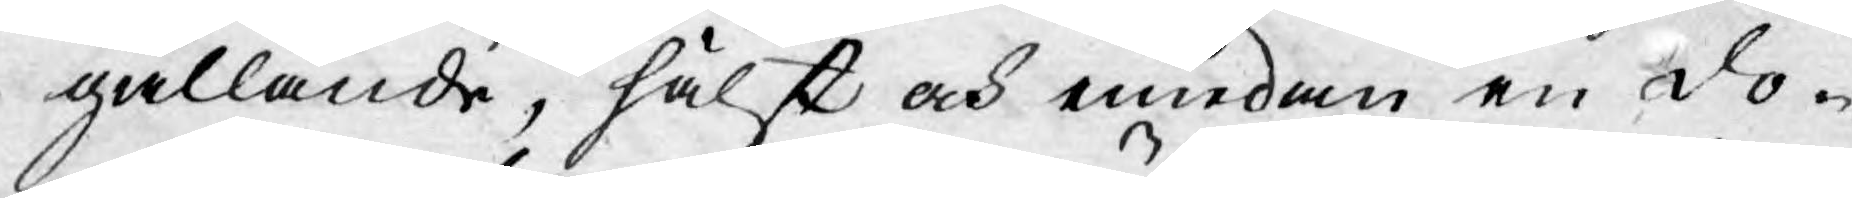gällande, hälst och emedan en do-
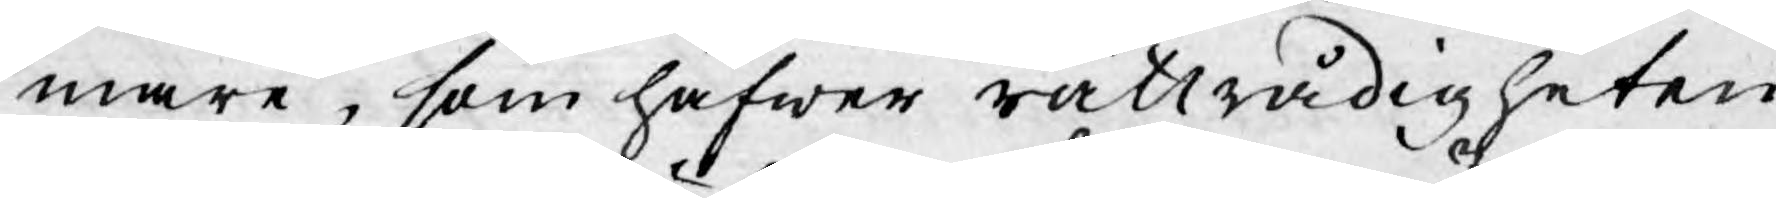mare, som hafwer rättrådigheten
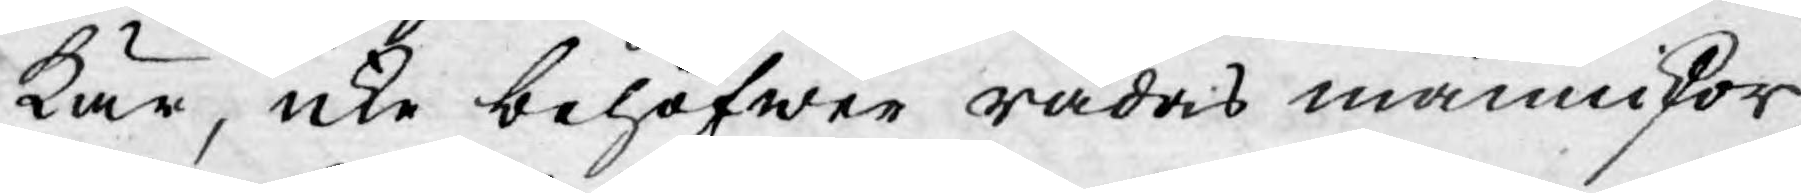kär, icke behöfwer rädas människor
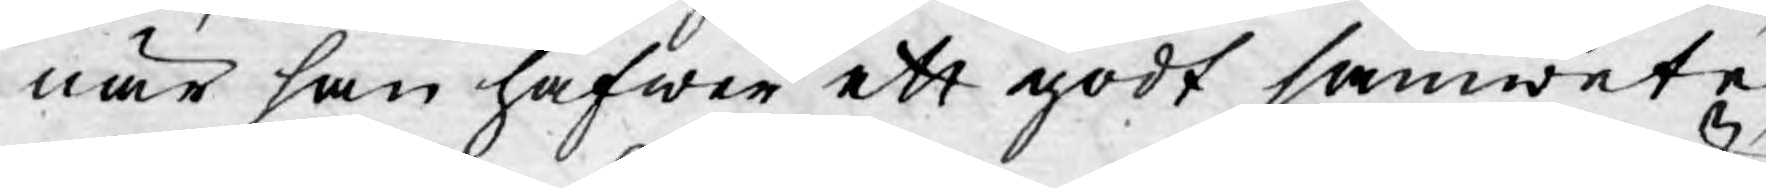när han hafwer ett godt samwete
